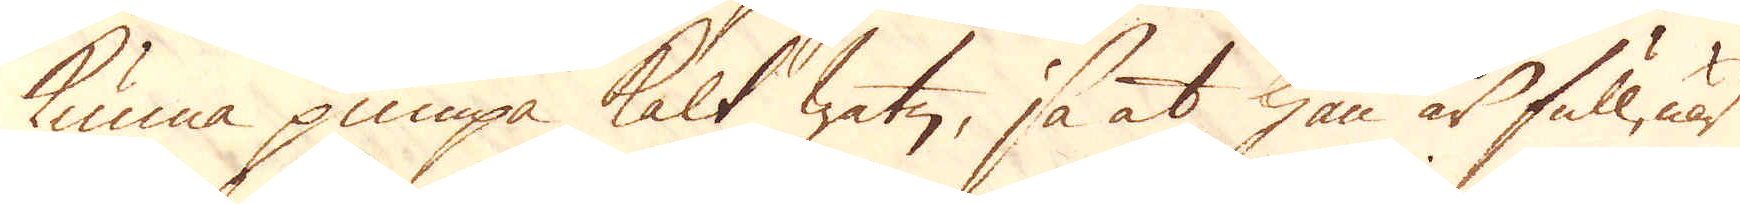kunna pumpa kalt watn, så at han är full, när
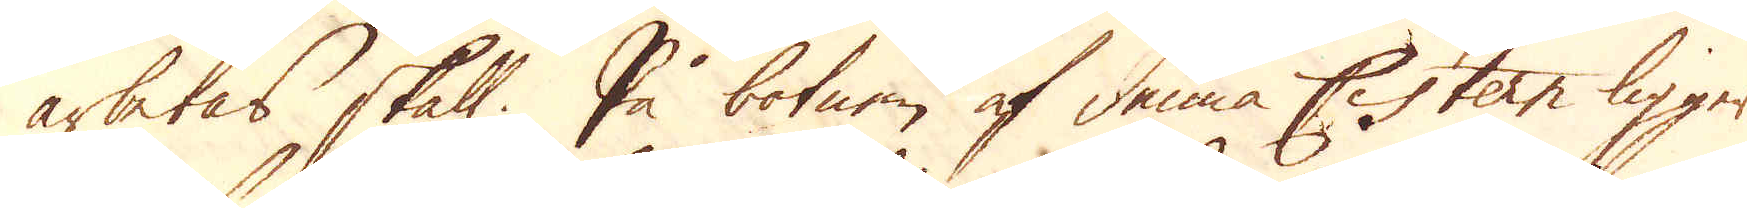arbetas skall. På botnen af denna Cistern ligger
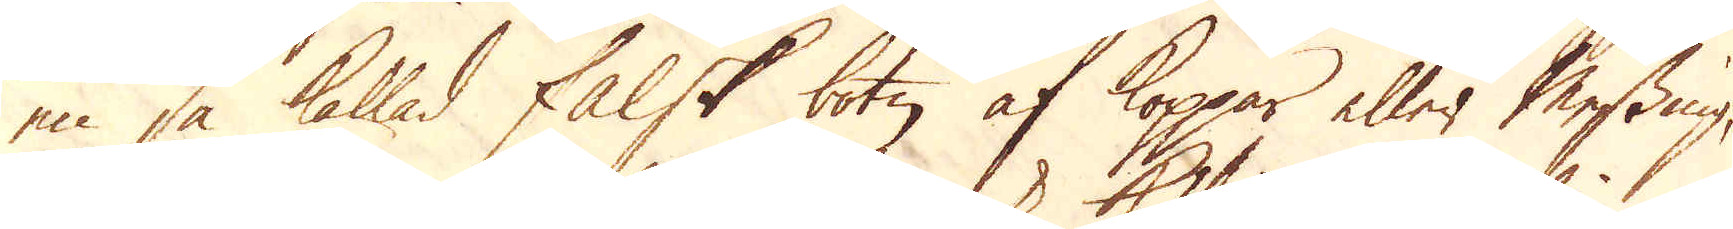en så kallad falsk botn af Koppar eller Messing,
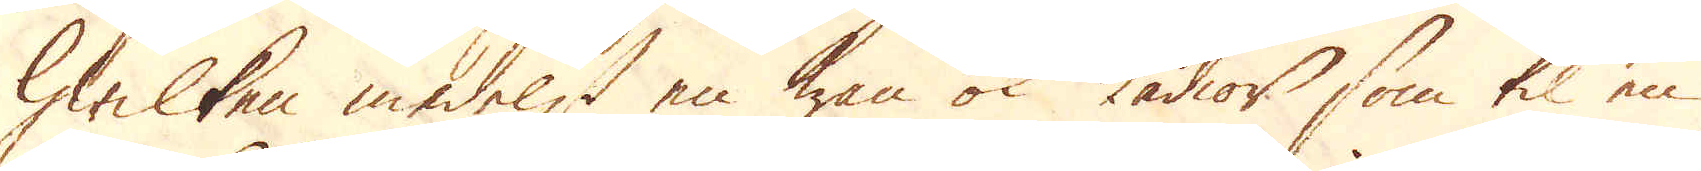hwilken medelst en ten ok kädior som til en
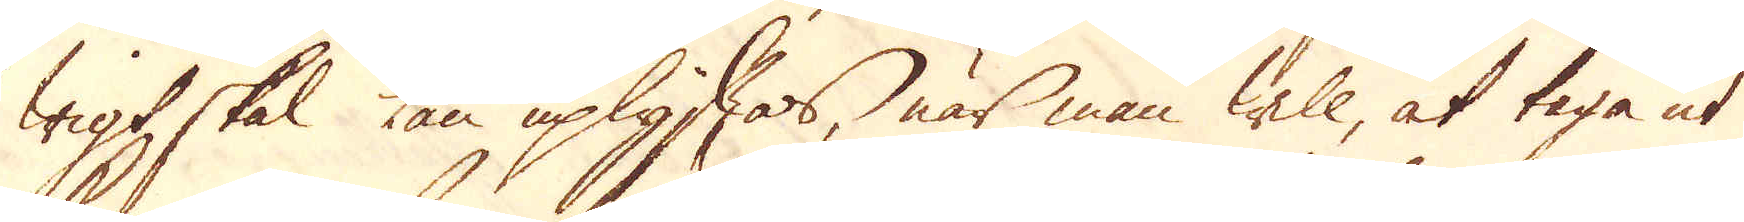wigt skal kan uplyftas, när man will, at taga ut
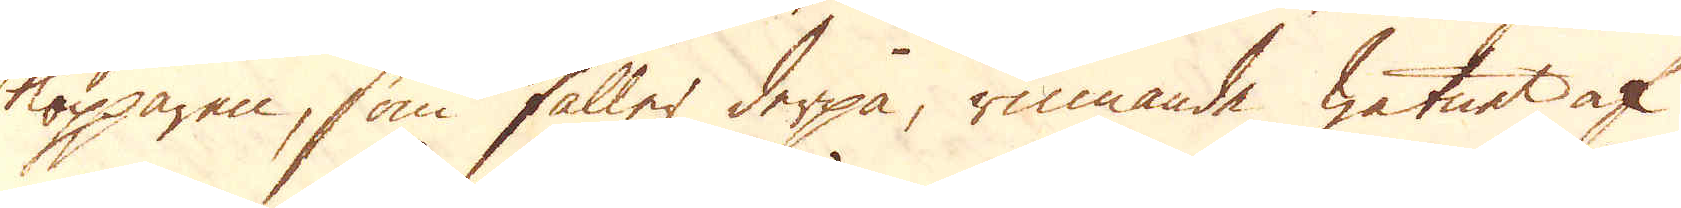kopparen, som faller derpå, rinnande watnet af
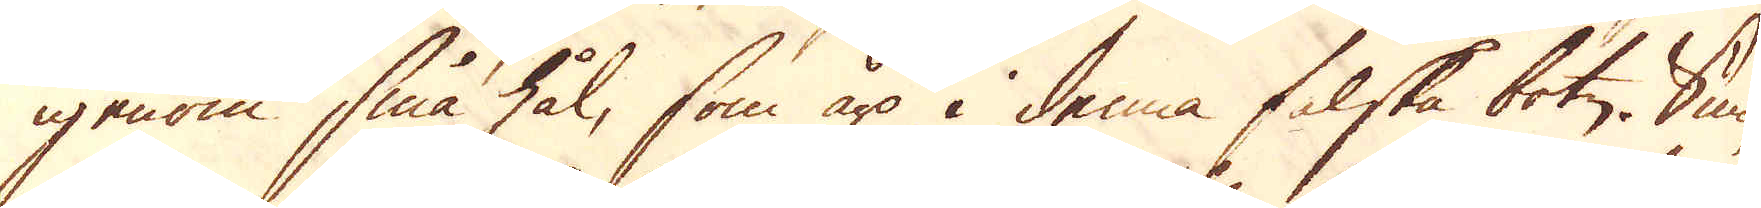igenom små hål, som äro i denna falska botn. Sum-
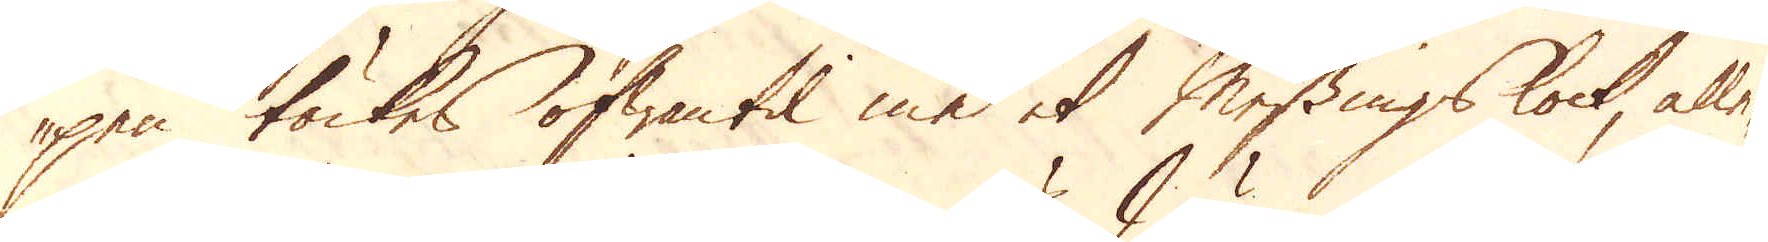pen täckes ofwantil med et Messingslock, alle-
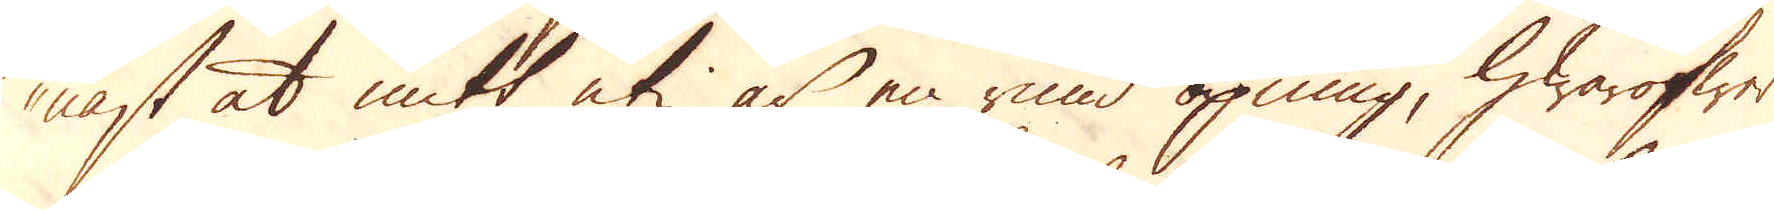nast at mitt uti är en rund öpning, hwaröfwer
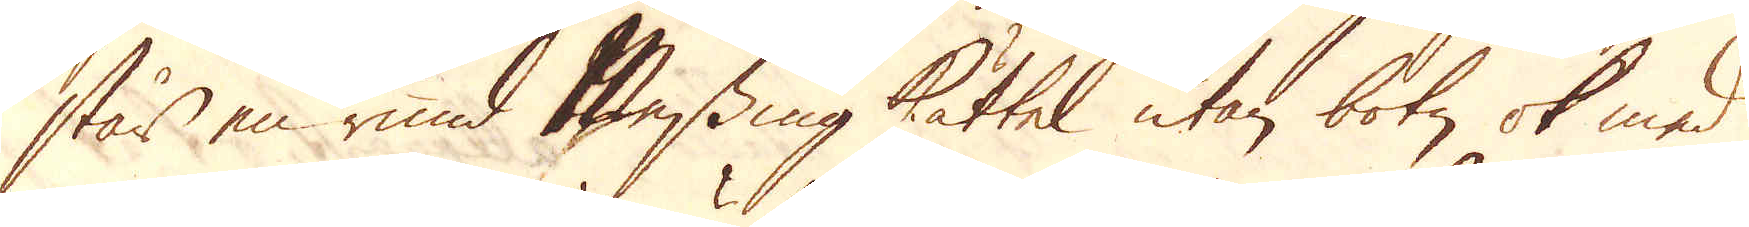står en rund Messing kättel utan botn ok med
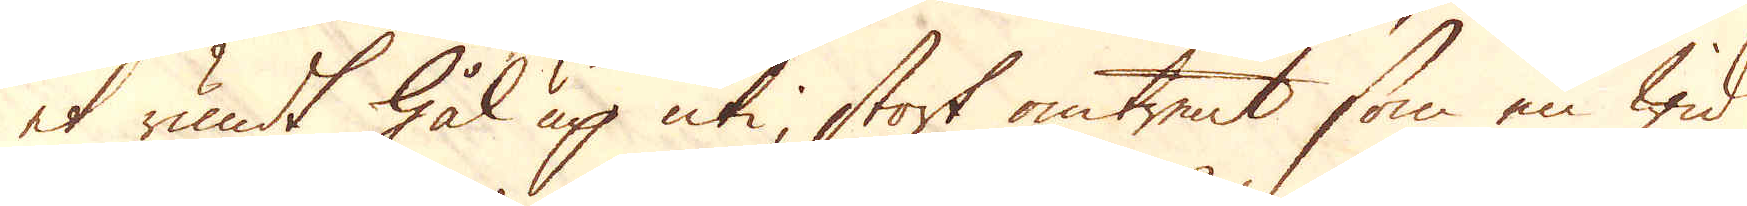et rundt hål up uti, stort omtrent som en wid
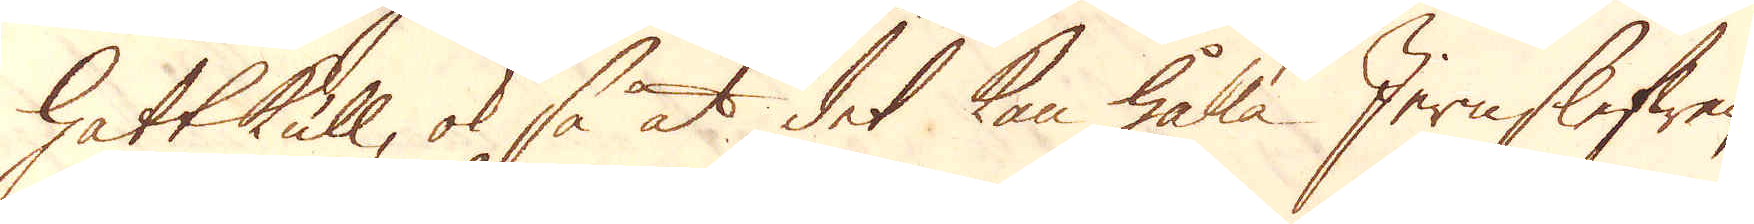hattkull, ok så at det kan hålla Jernslefwen,
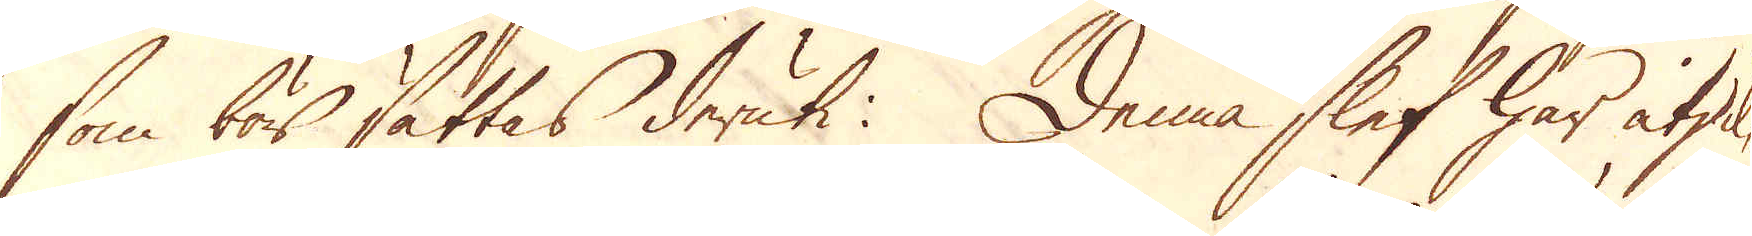som bör sättas deruti: Denna slef har åtskil-
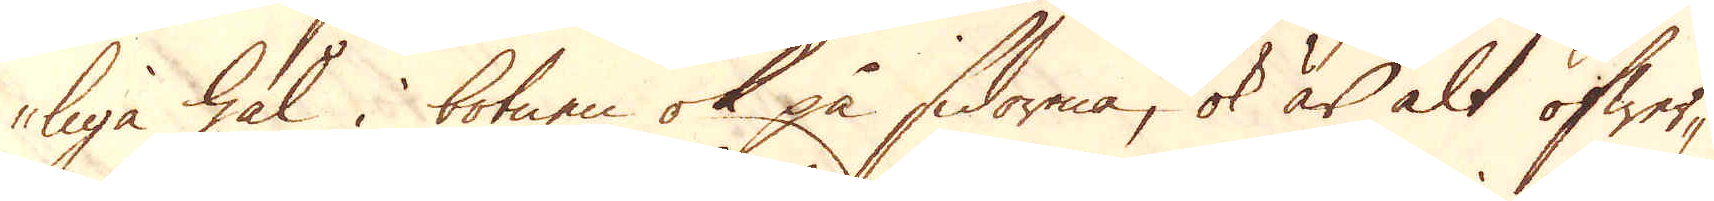liga hål i botnen ok på sidorna, ok är alt öfwer-
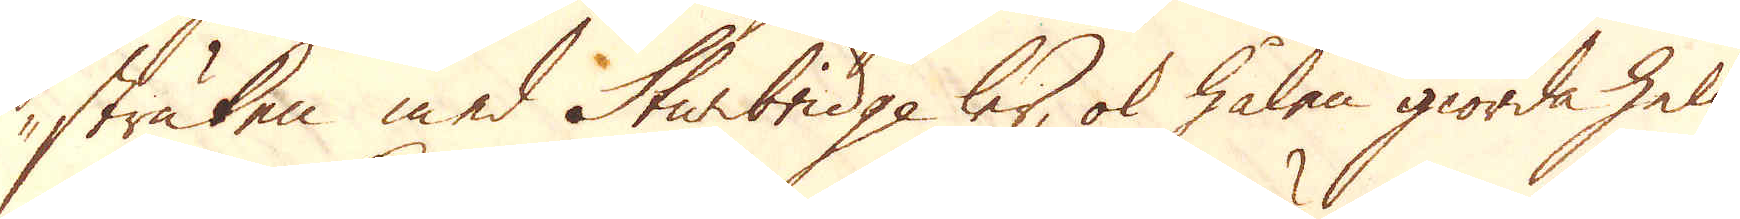struken med Sturbridge ler, ok hålen giorda helt
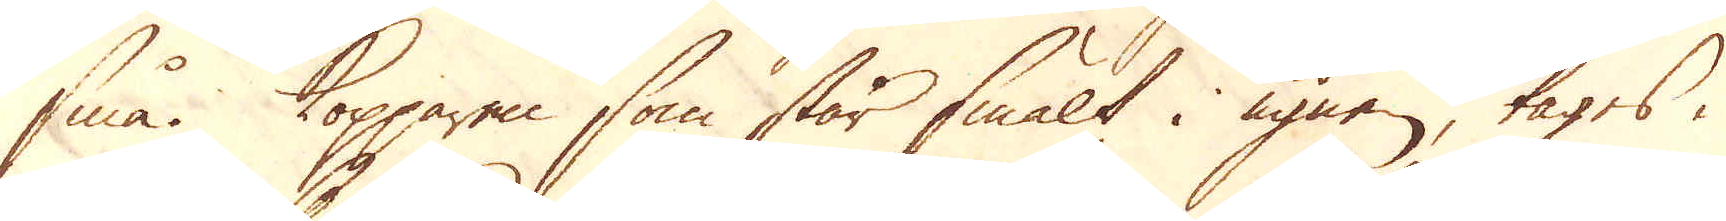små. Kopparen som står smält i ugnen, tages i
